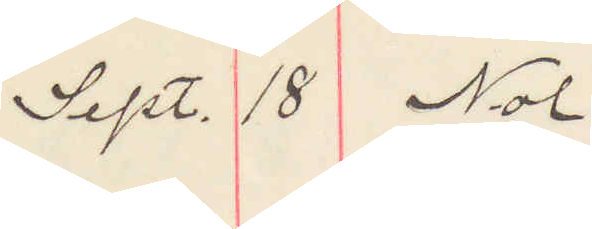Sept. 18 Nol
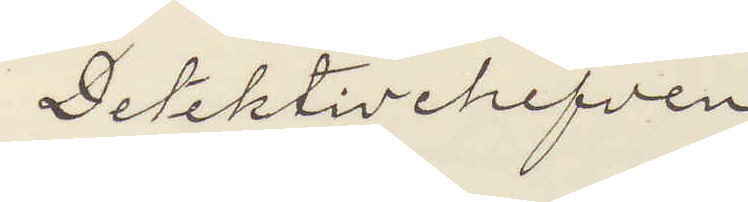Detektivchefen
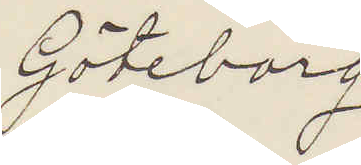Göteborg
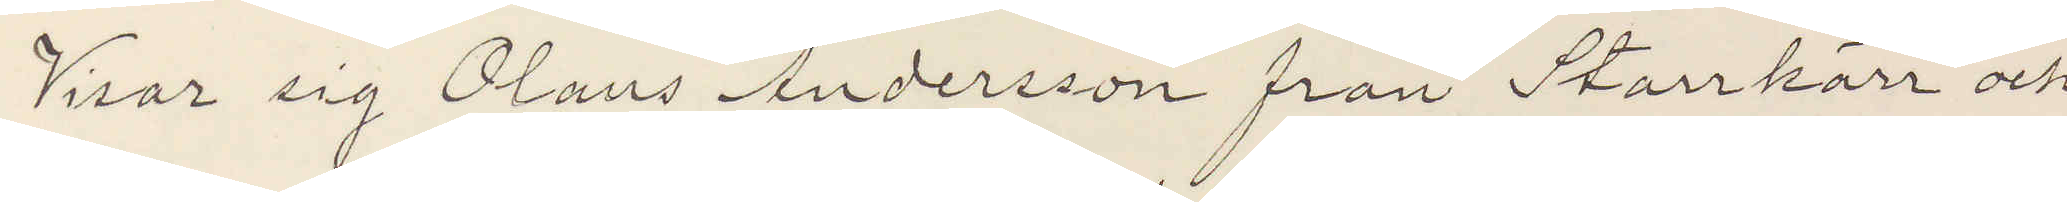Visar sig Olaus Andersson från Starrkärr och
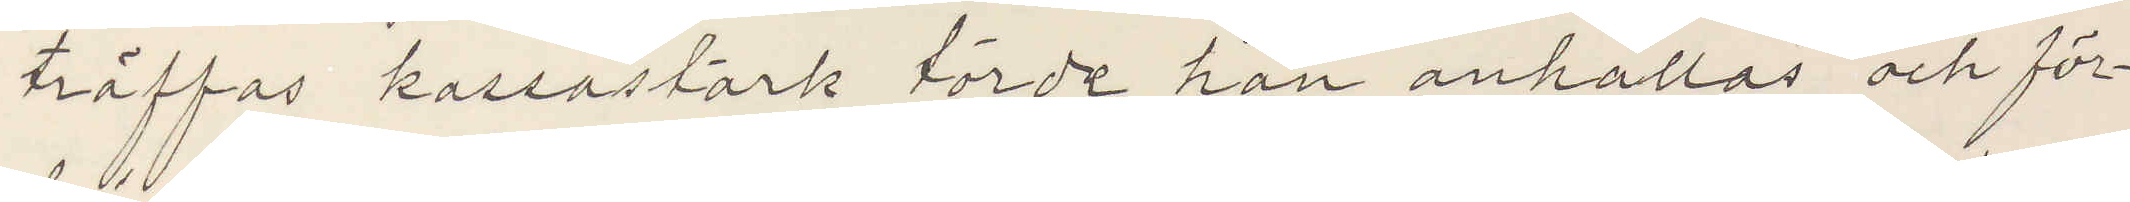träffas kassastark torde han anhållas och för¬
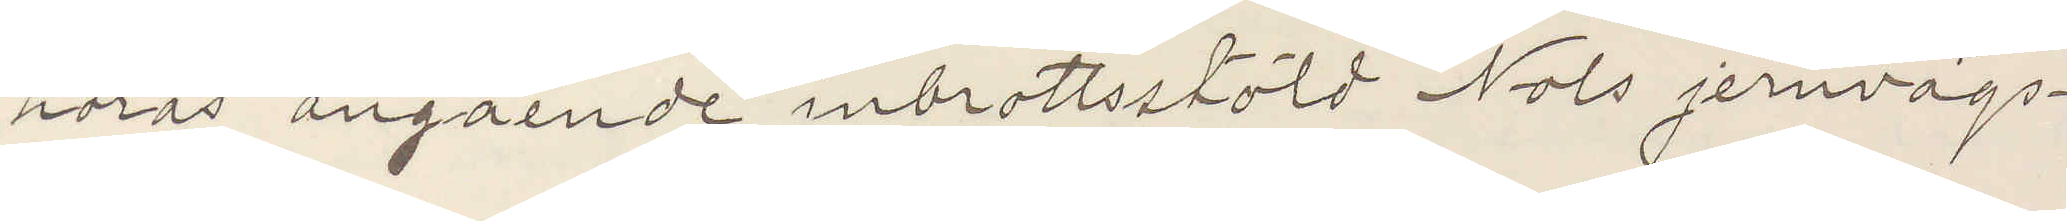höras angående inbrottsstöld Nols jernvägs¬
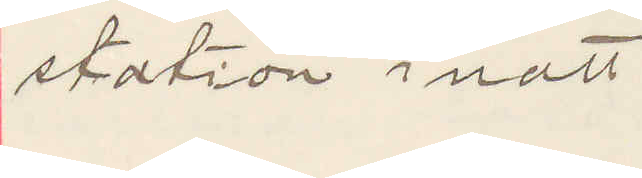station inatt
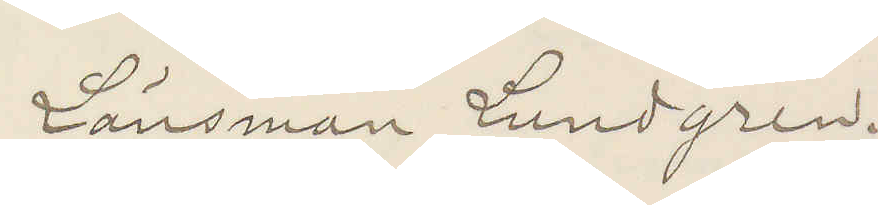Länsman Lundgren.
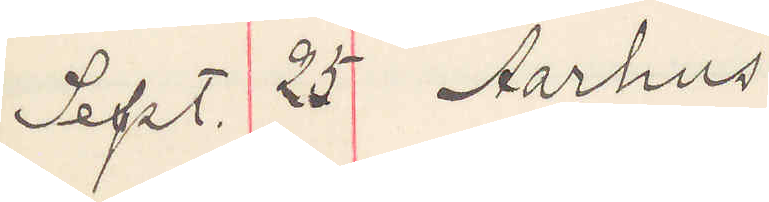Sept. 25 Aarhus
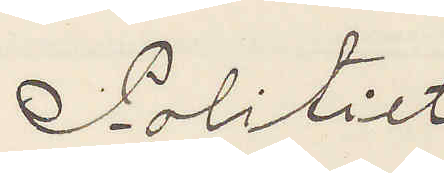Politiet
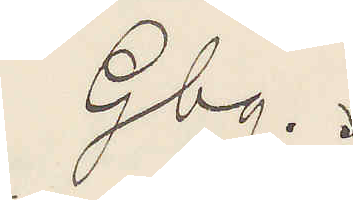Gbg.
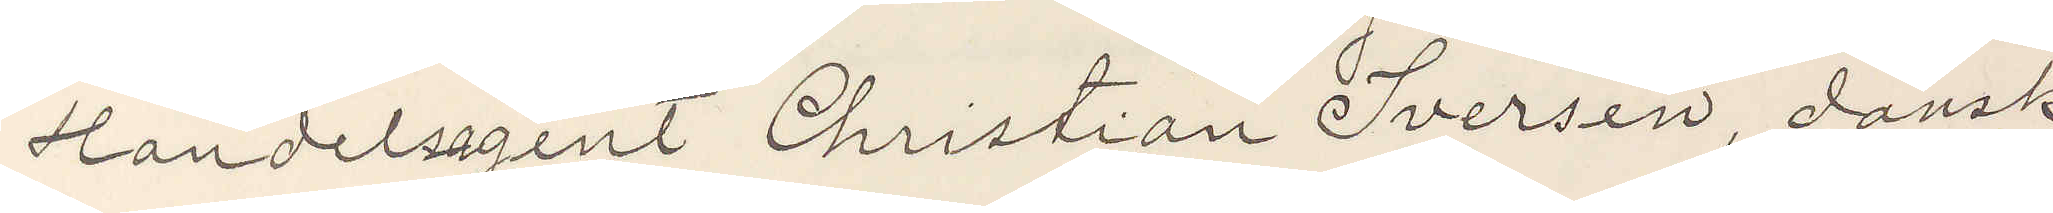Handelsagent Christian Iversen, dansk,
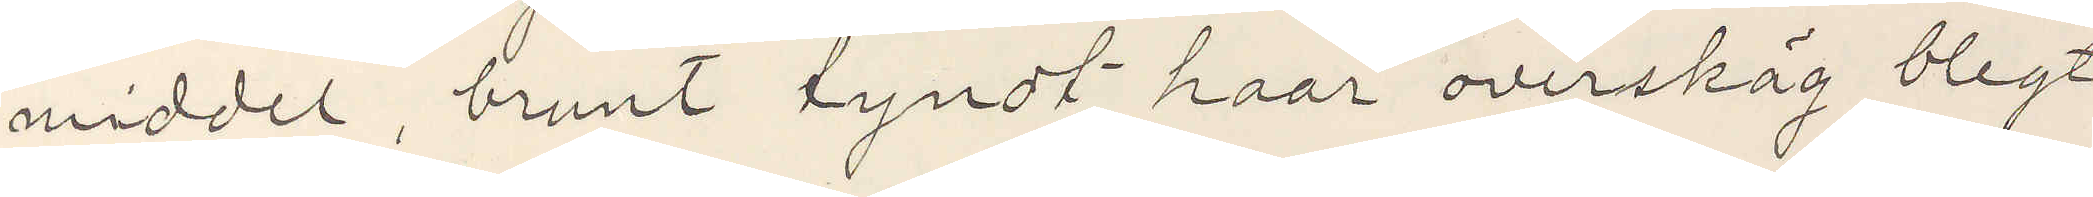middel, brunt tyndt haar overskäg blegt
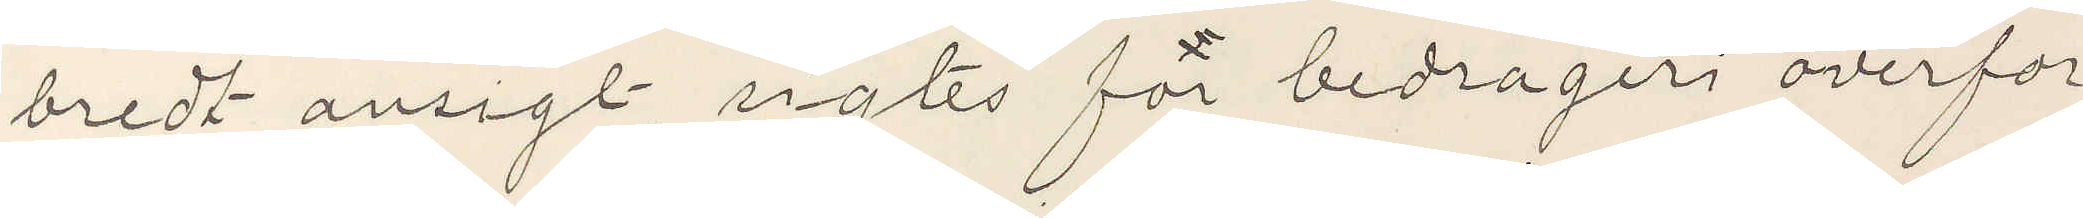bredt ansigt, rigtes for bedrageri overfor
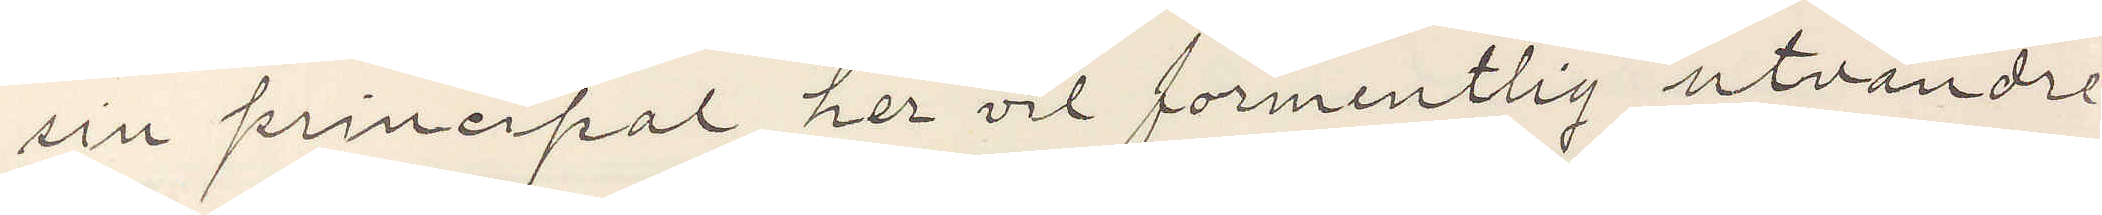sin principal her vil förmentlig utvandre
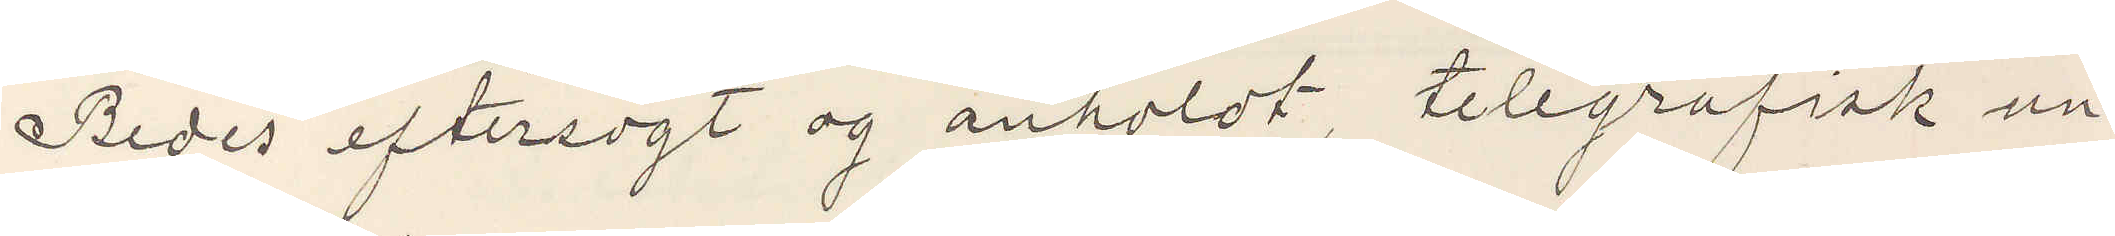Bedes eftersögt og anholdt, telegrafisk un¬
